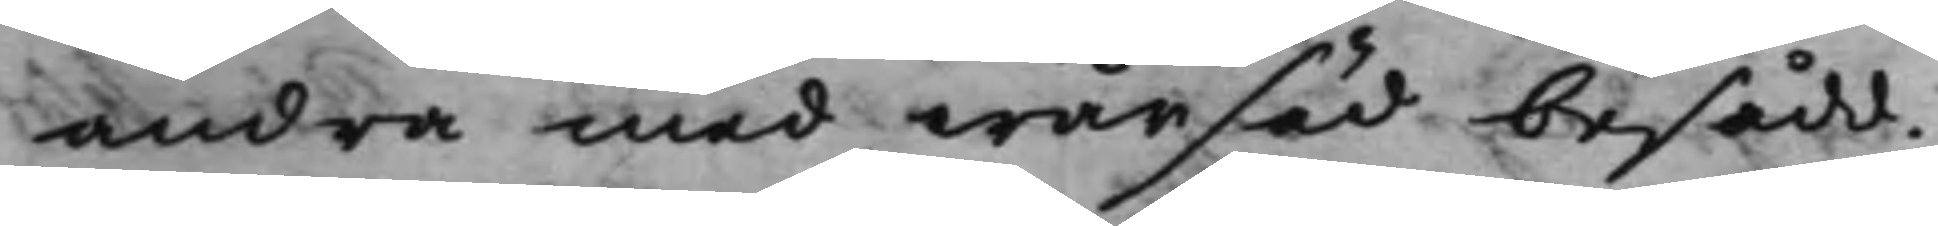andra med wårsäd besådd.
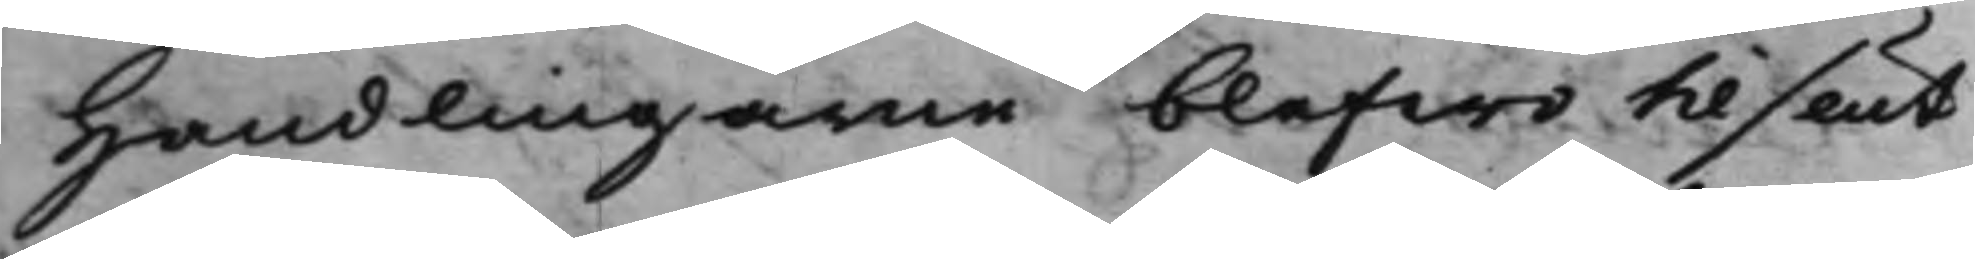Handlingarne blefwo til slut
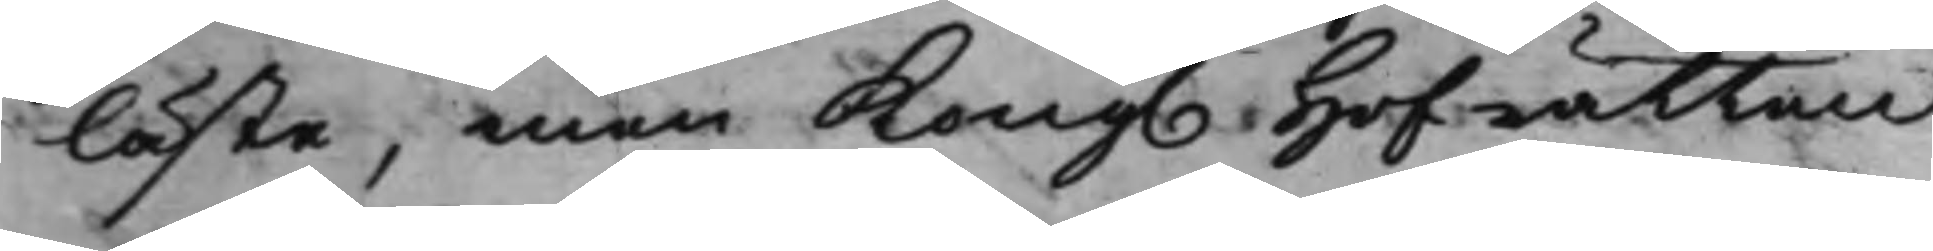läste, men Kong. Hofrätten
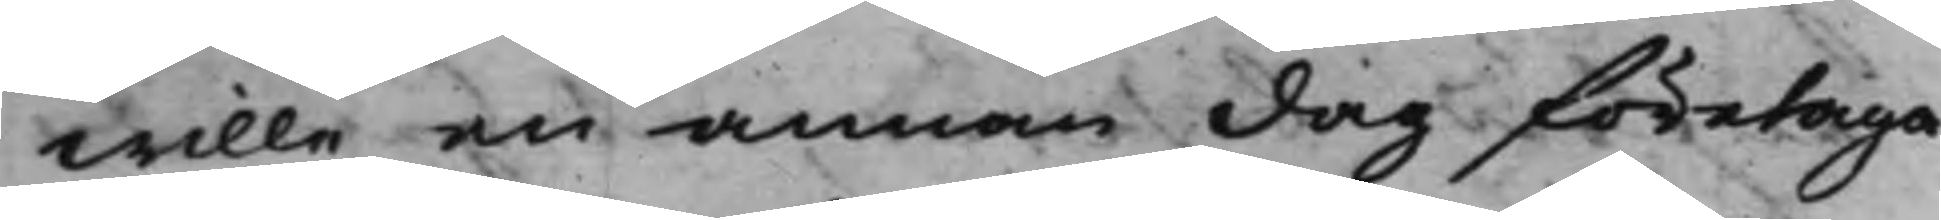wille en annan dag företaga
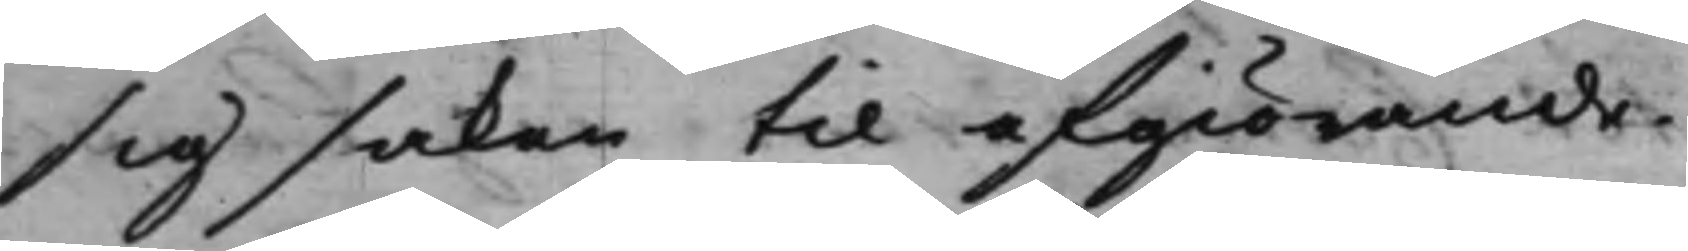sig saken til afgiörande.
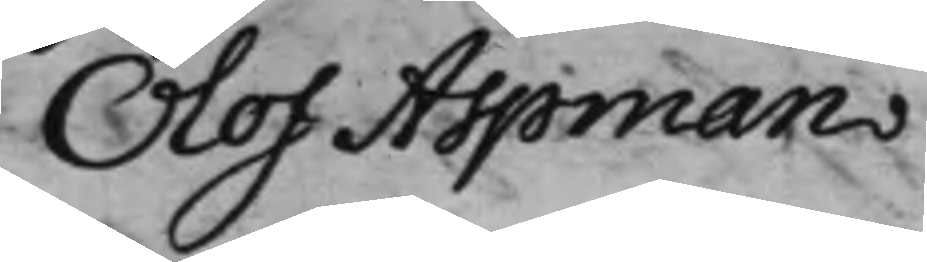Olof Aspman
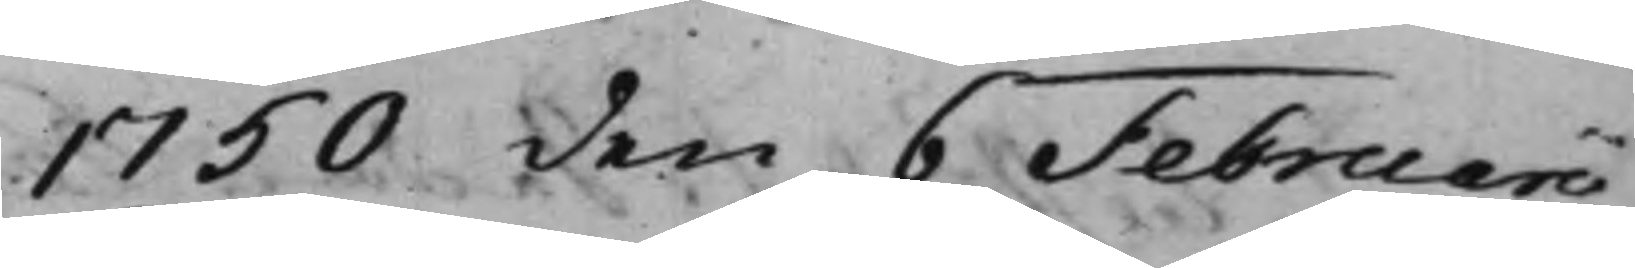1750 den 6 Februarii
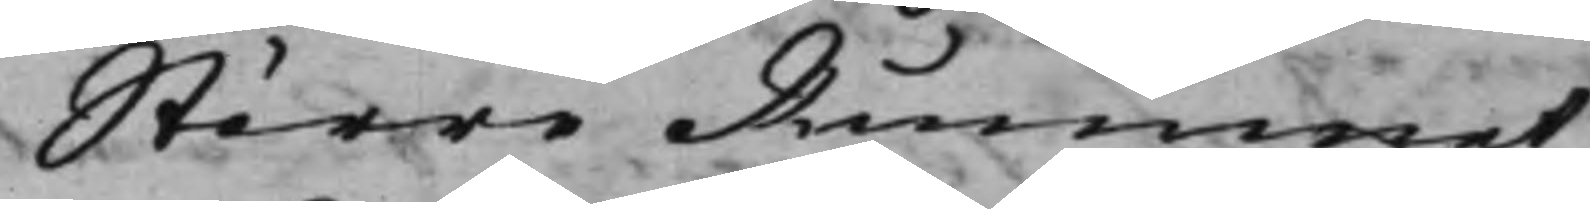Större Rummet
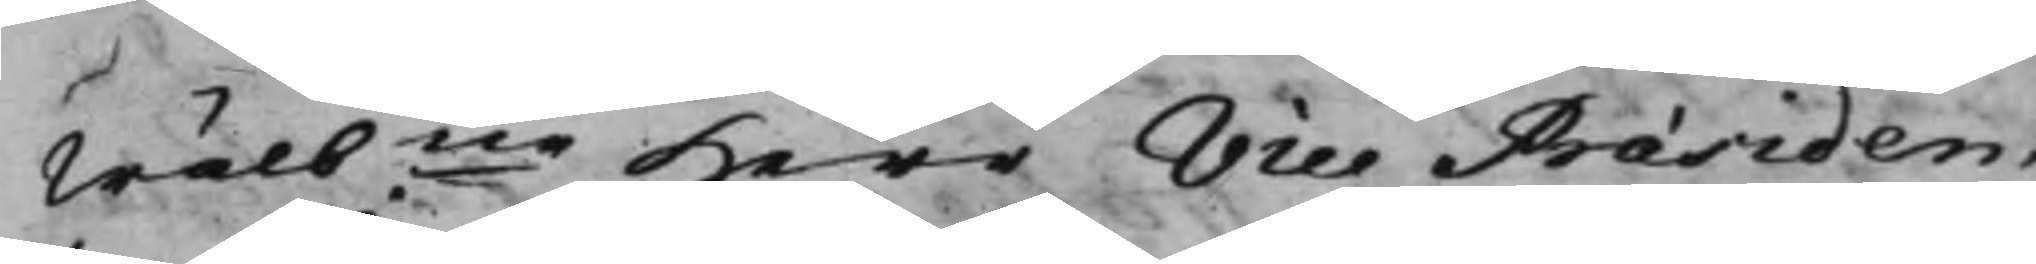Wälbne Herr Vice Praesiden¬
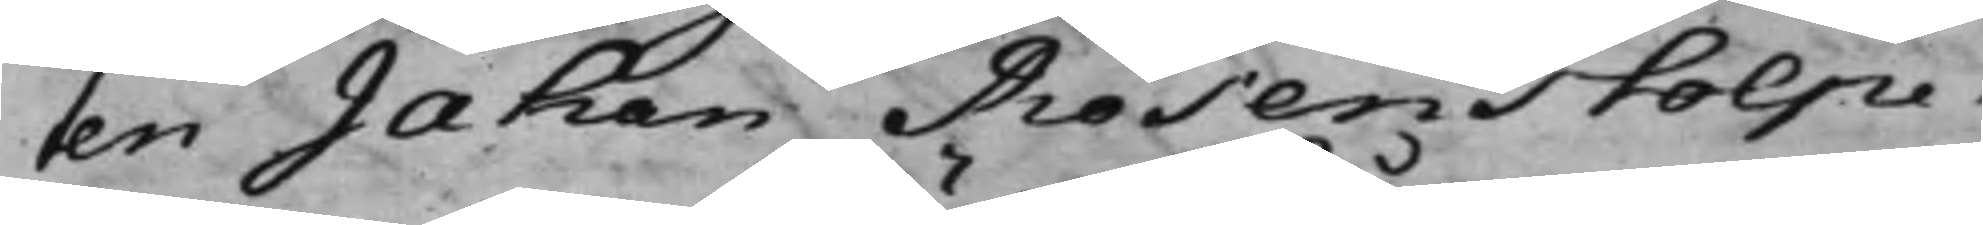ten Jahan Rosenstolpe.
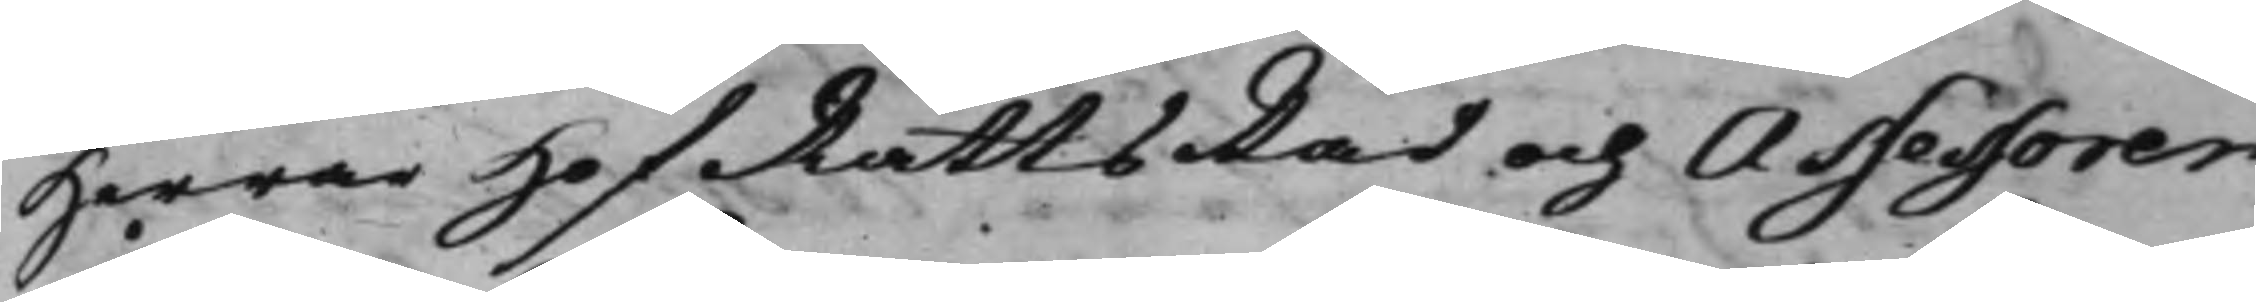Herrar HofRättsRåd och Assessorer
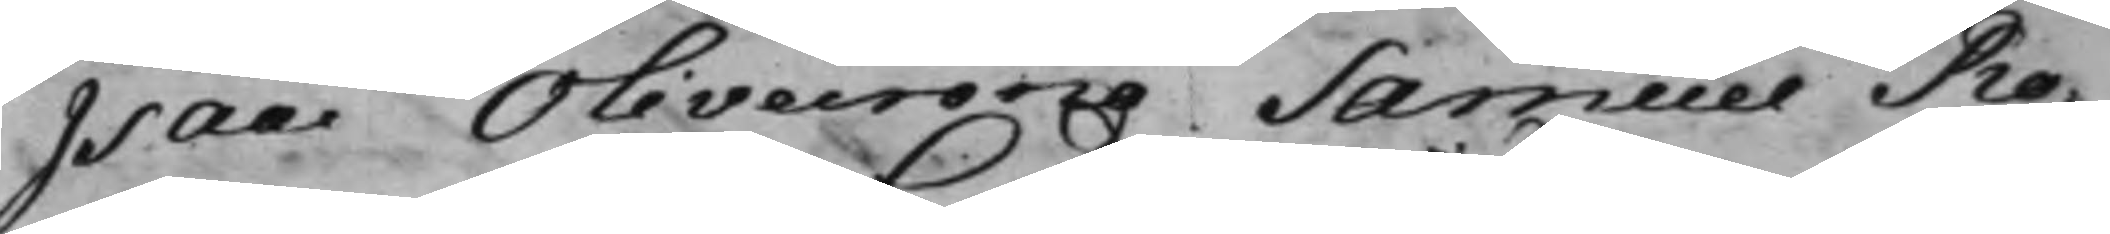Isaac Olivecorna. Samuel Ro¬
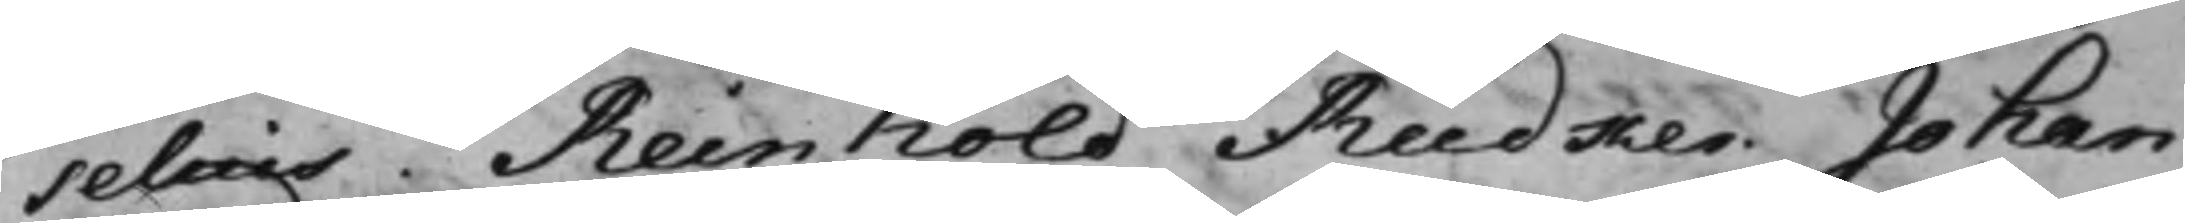selius. Reinhold Rüdker. Johan
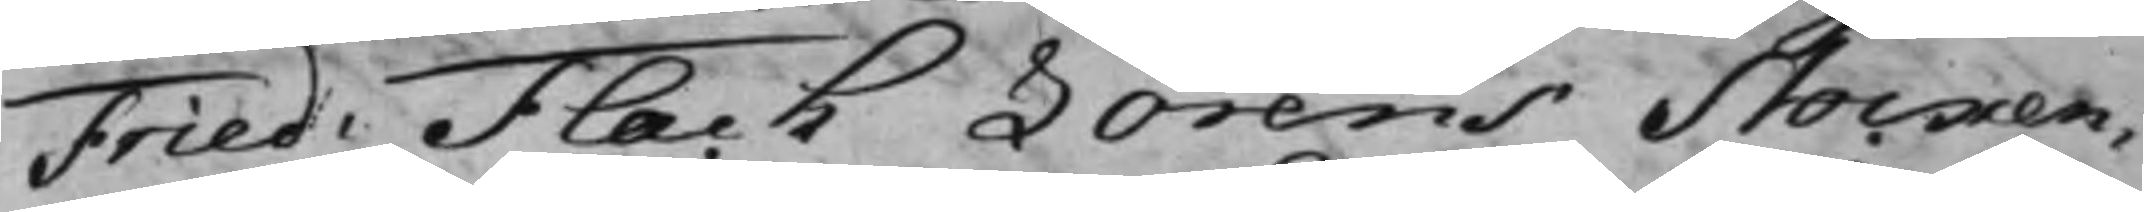Fried: Flach Lorens Stocken¬
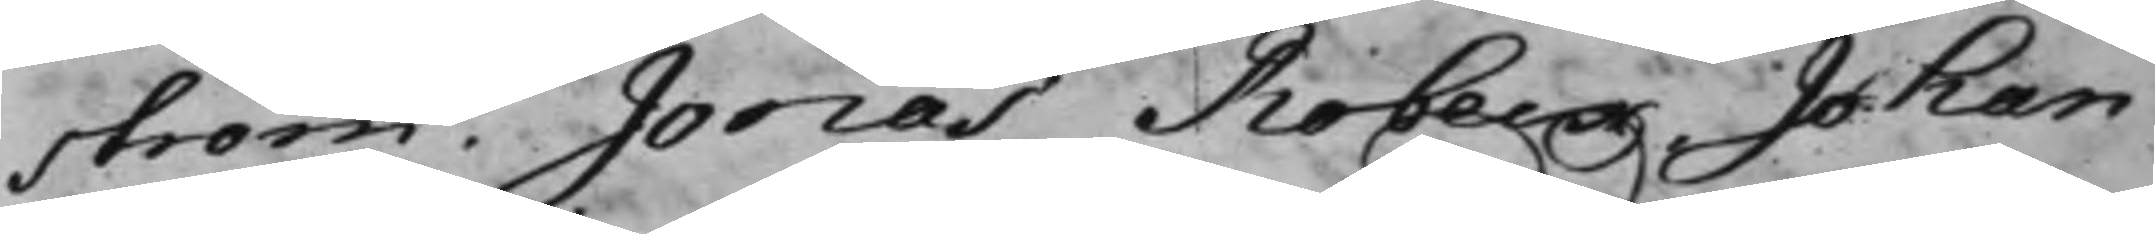ström. Jonas Robeck. Johan
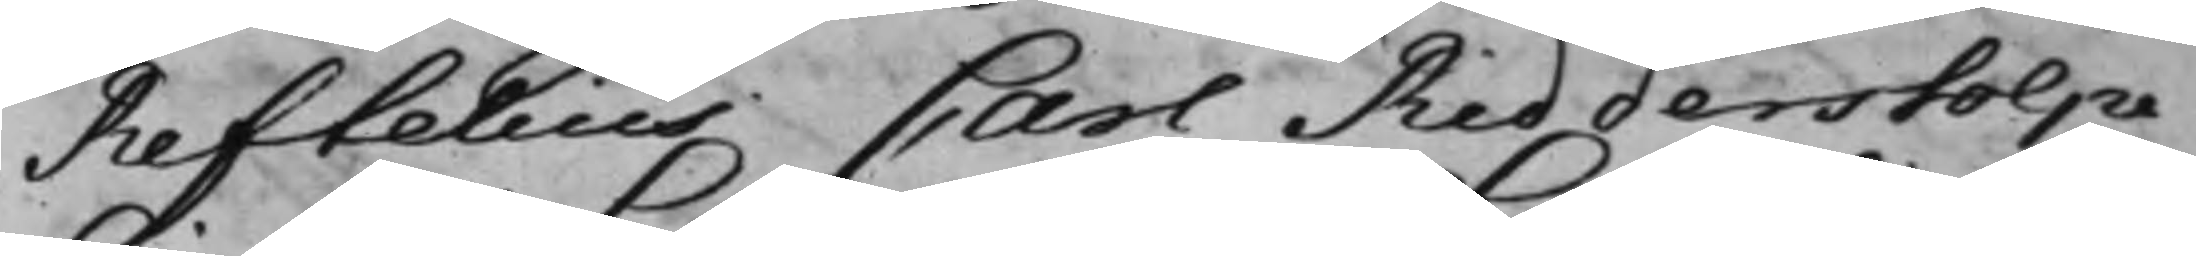Reftelius Carl Ridderstolpe
